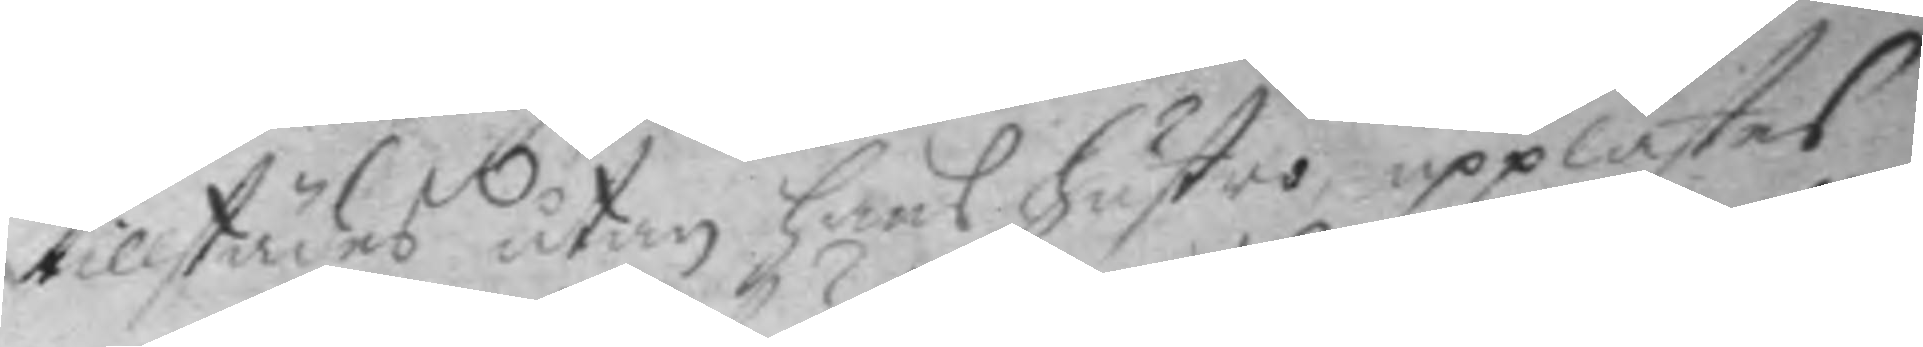tillstädes utan hans hustro upplästes
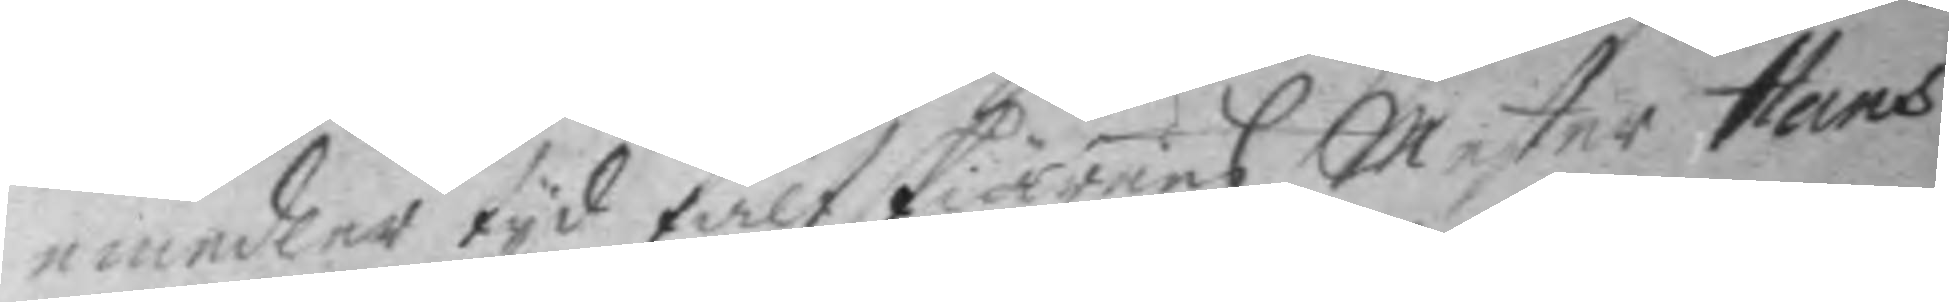emedler tyd fältskiärens Mester Hans
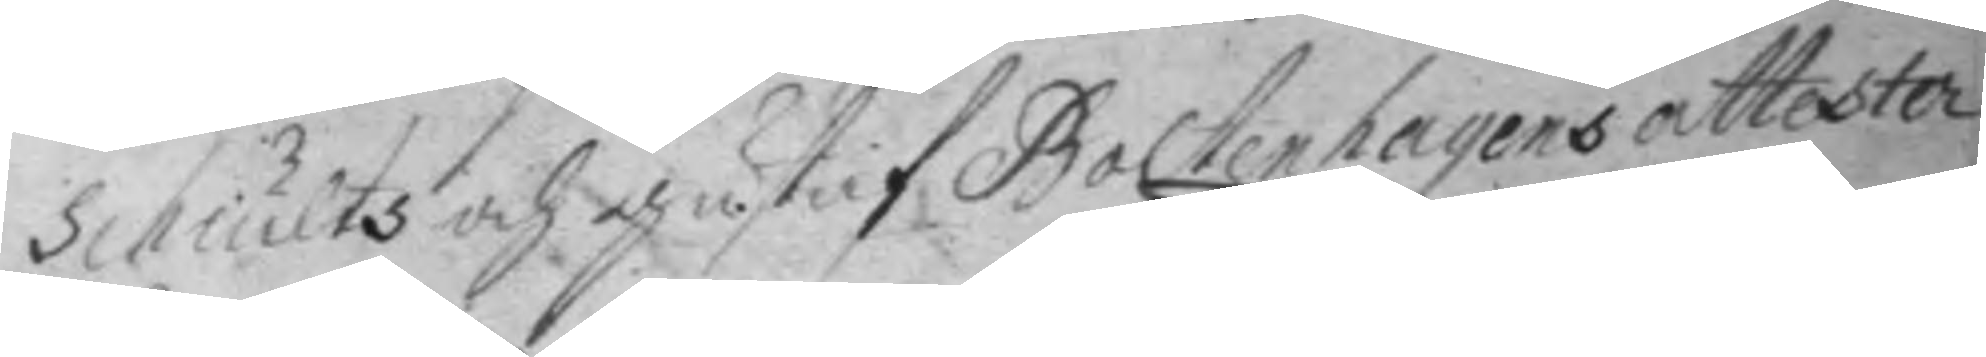Schultz och gustaf Boltenhayens attester
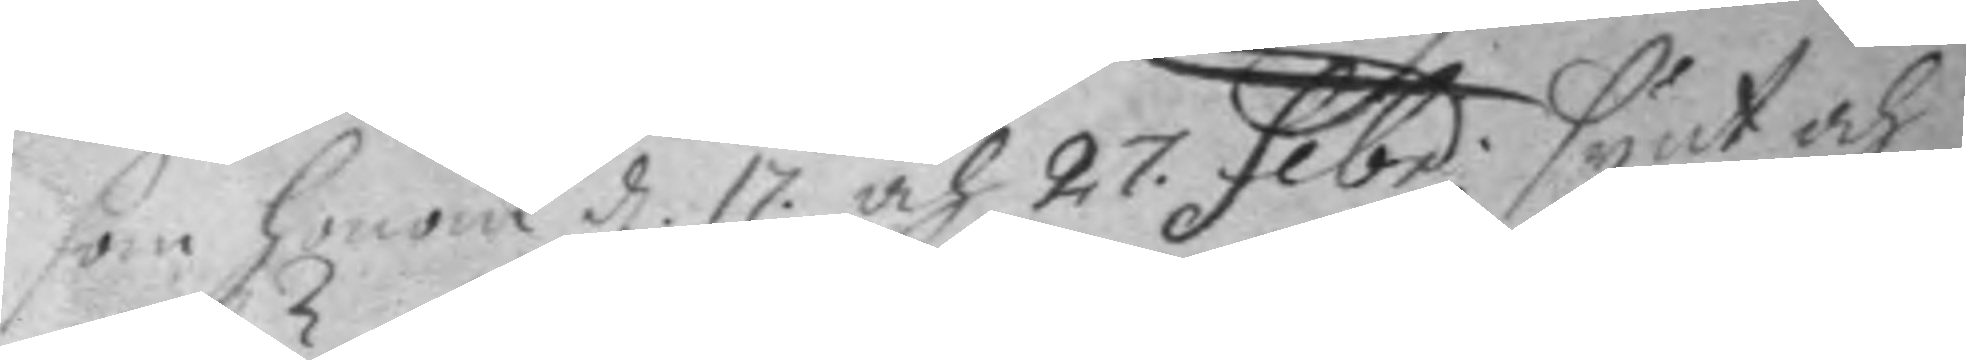som honom d. 17 och 27. febr. synt och
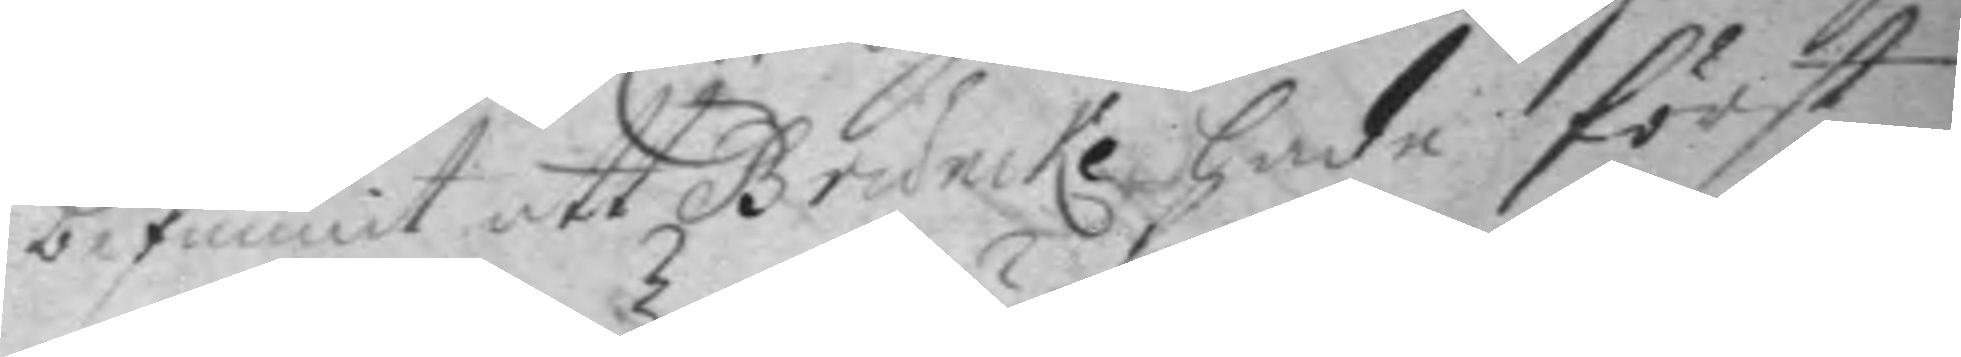befunnit att Bruncke hade först
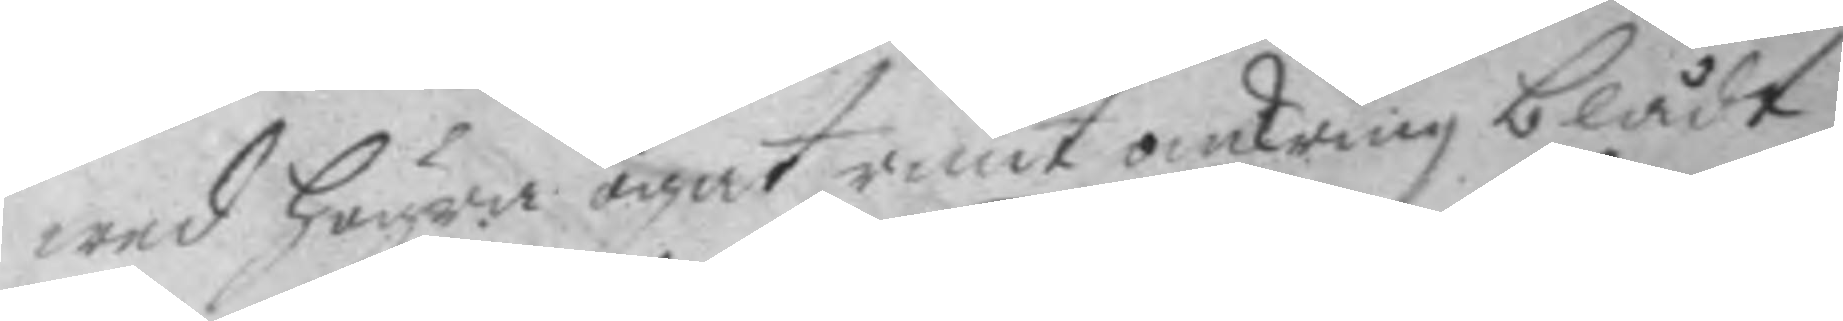wed högra ögat runt omkring blådt
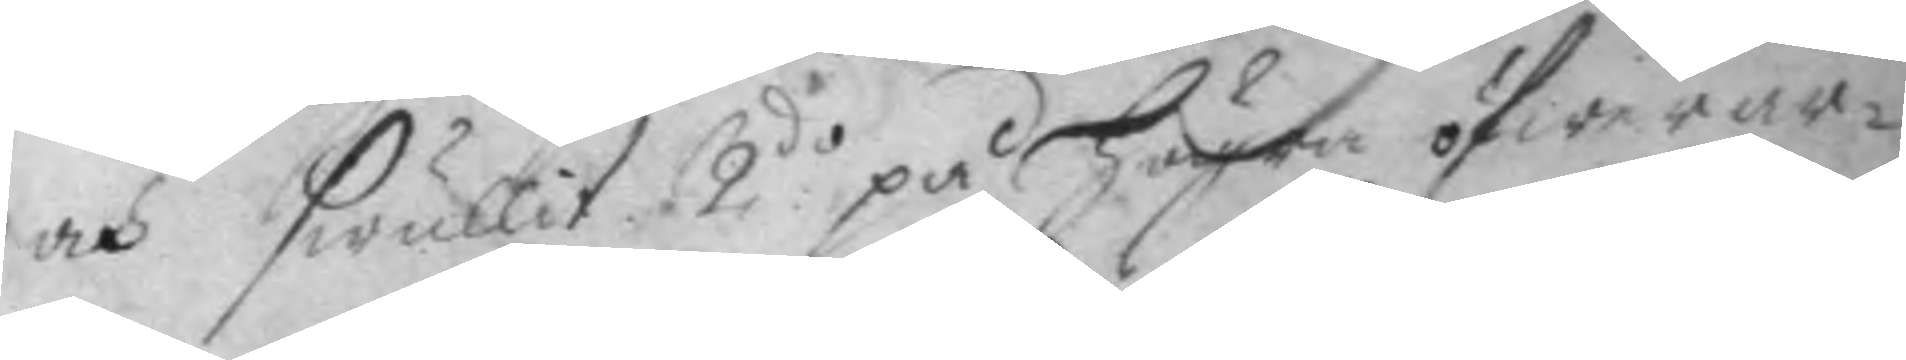och swullit, 2do på högra öfwerar¬
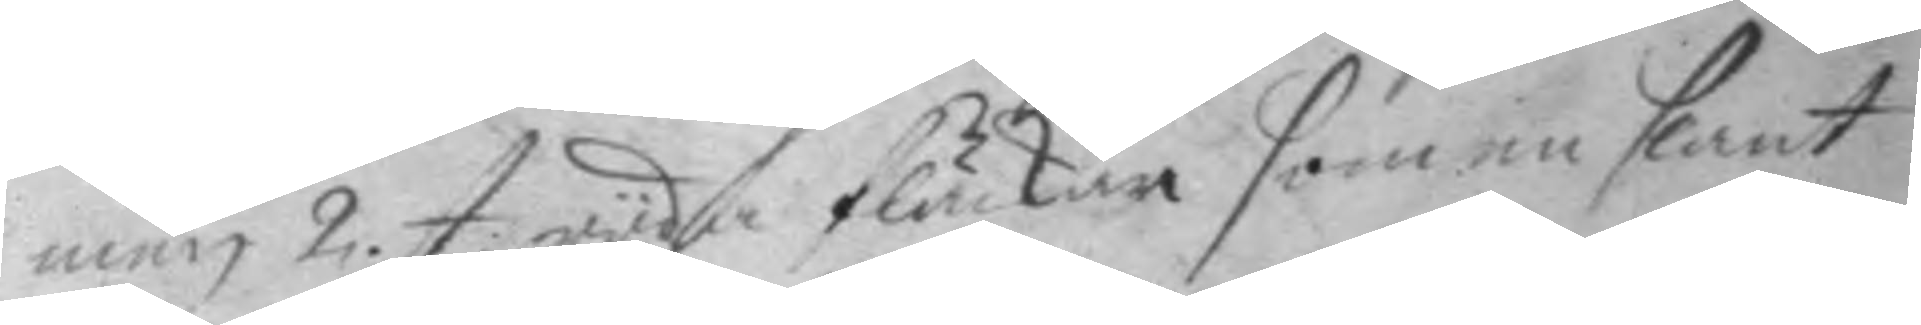men 2. st. röda fläckar sam en slant
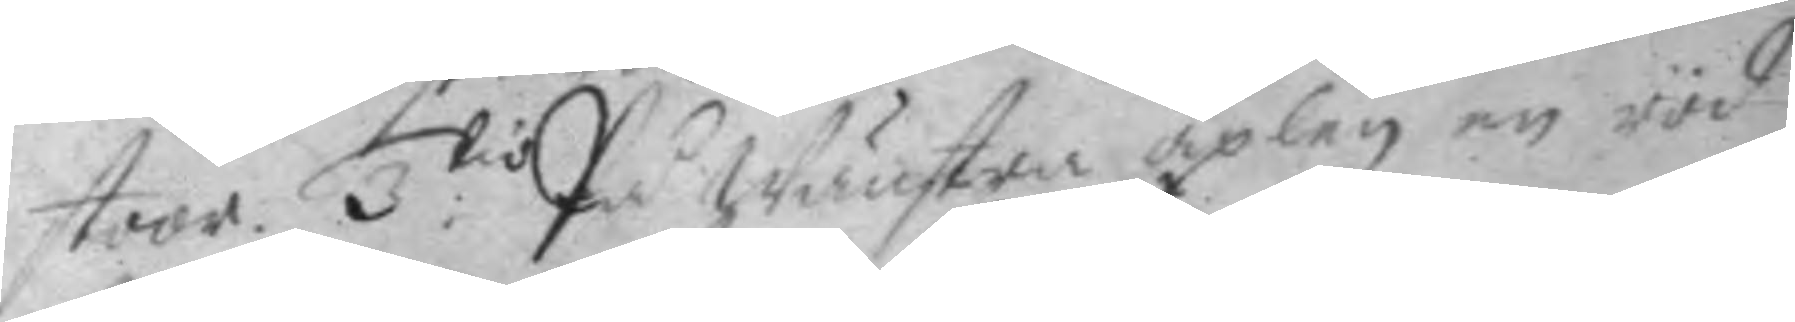stoor. 3.tio På Wänstra axlen en röd
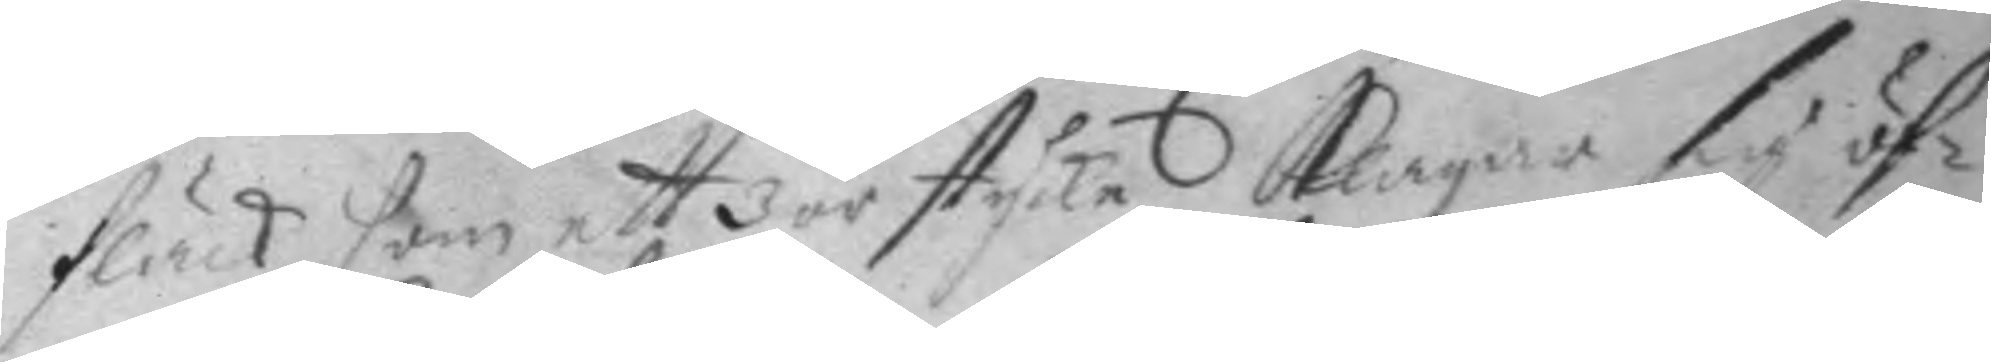fläck som ett 3 örstyckem klagar sig öf¬
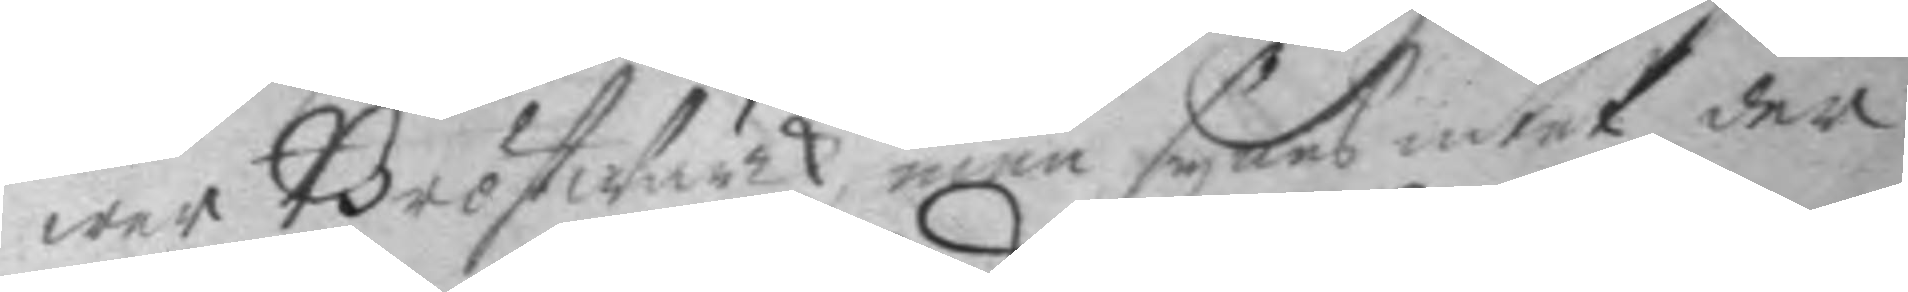wer BröstWärk, men synes intet der
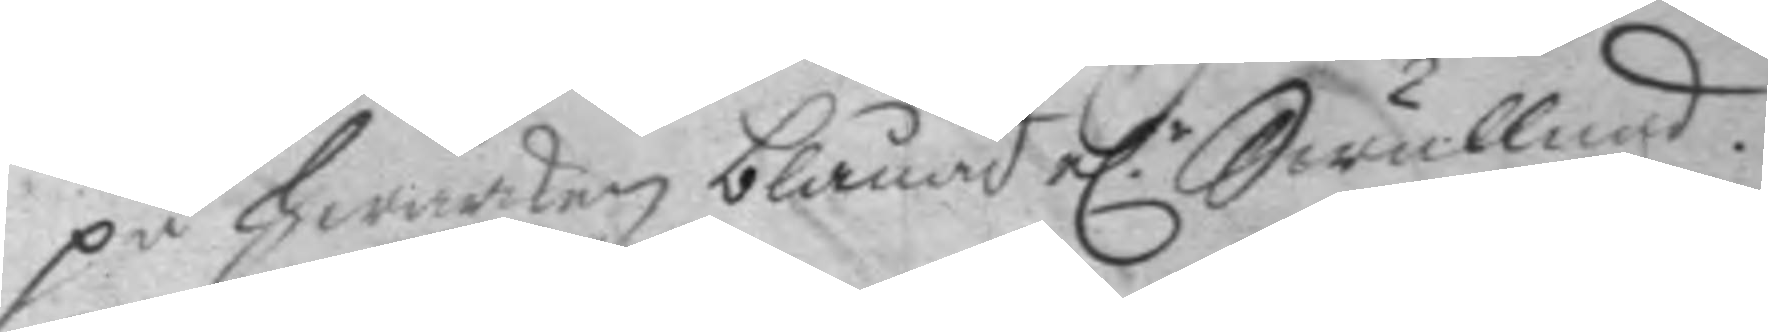på hwarken blånad e.r Swullnad.
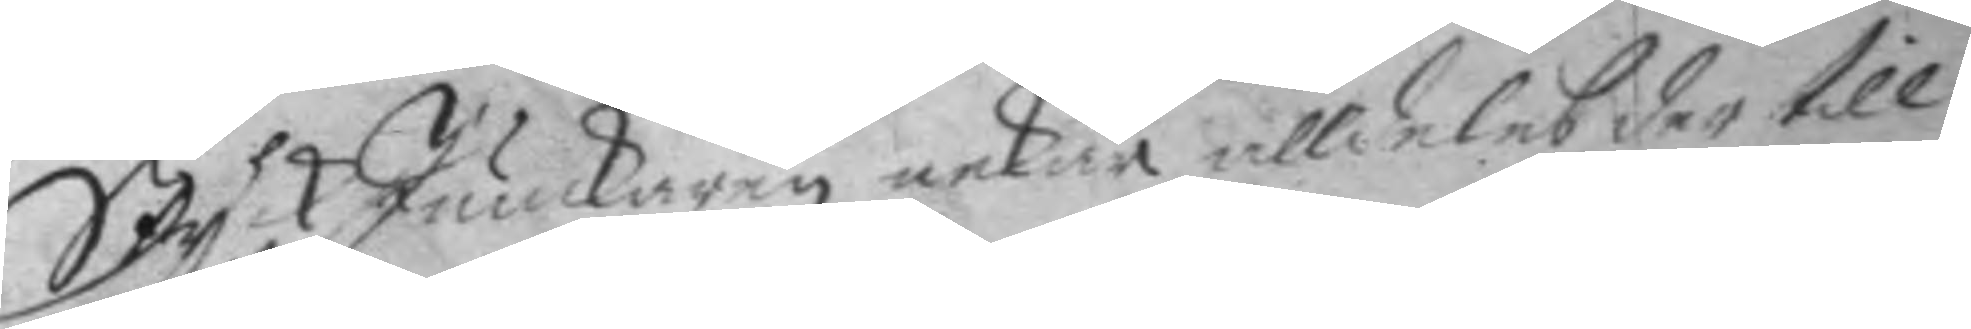Styck junckaren nekar alldeles der till
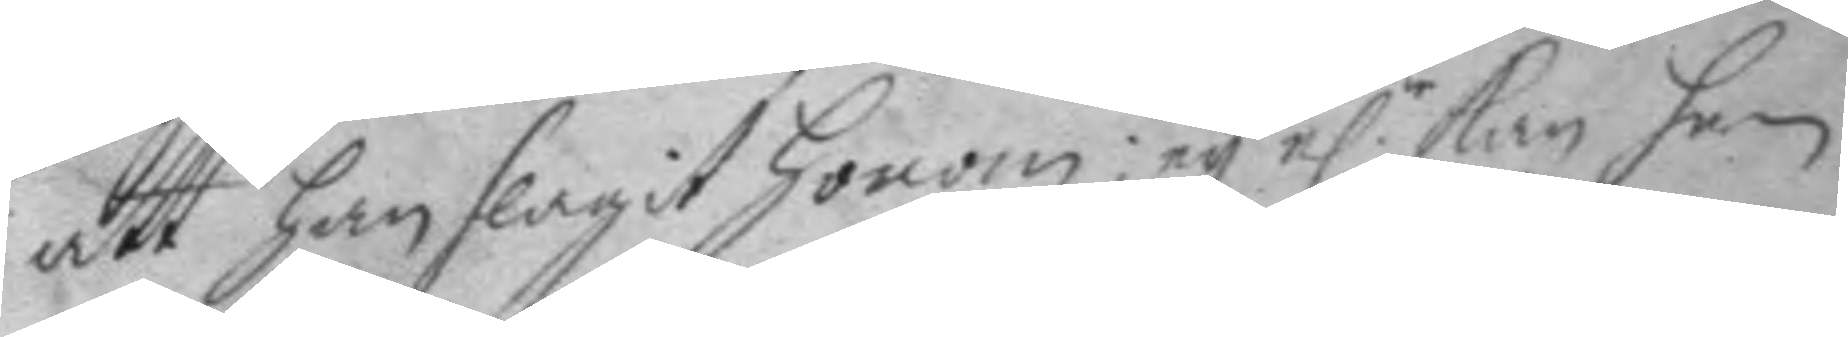att han slagit honom; ey e.r kan han
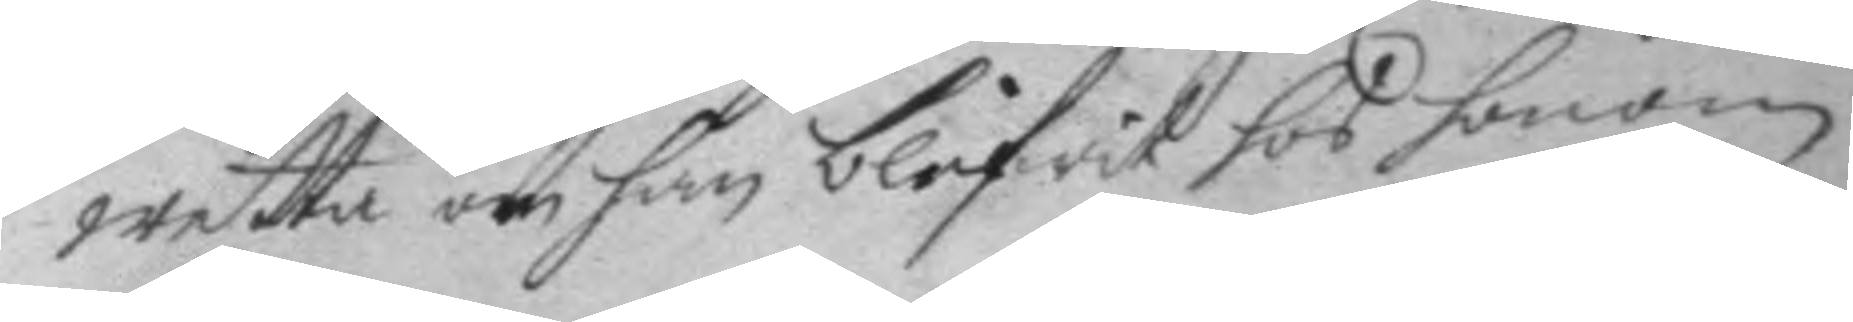wetta om han blifwit hos honom
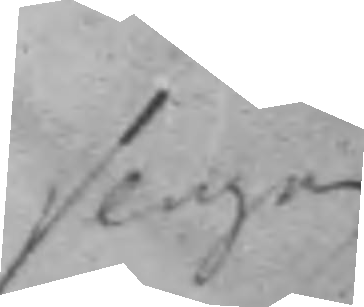slagen
